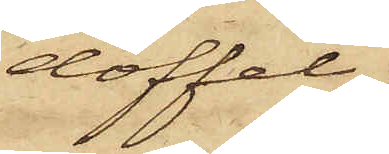doffel,
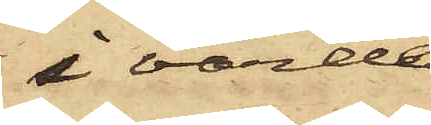i värde
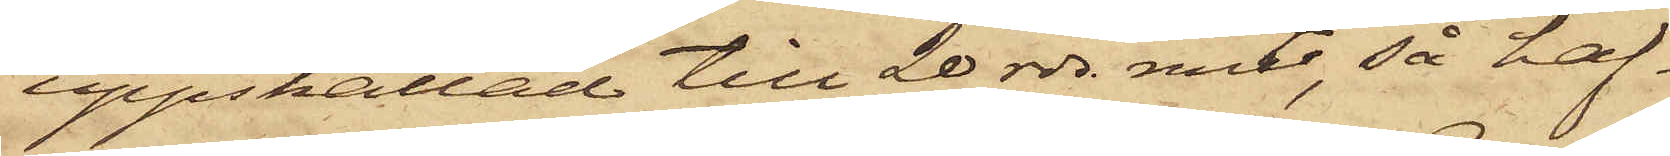uppskattad till 20 rdr rmt, så haf¬
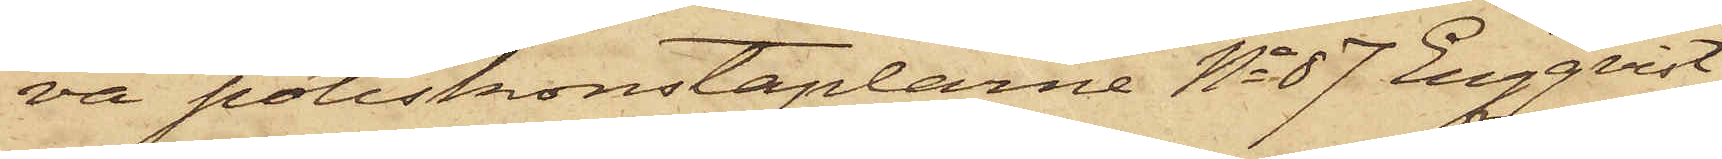va poliskonstaplarne No 87 Engqvist
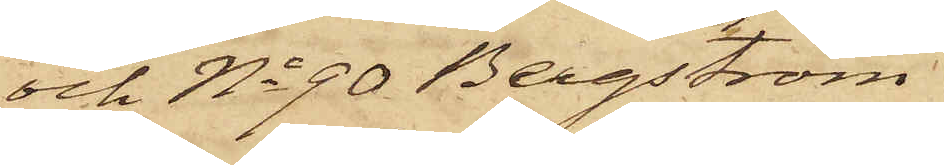och No 90 Bergström
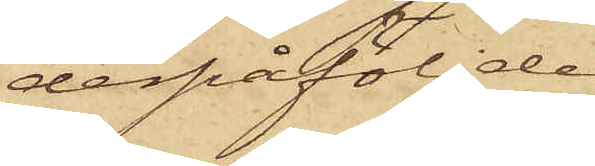derpåföljde
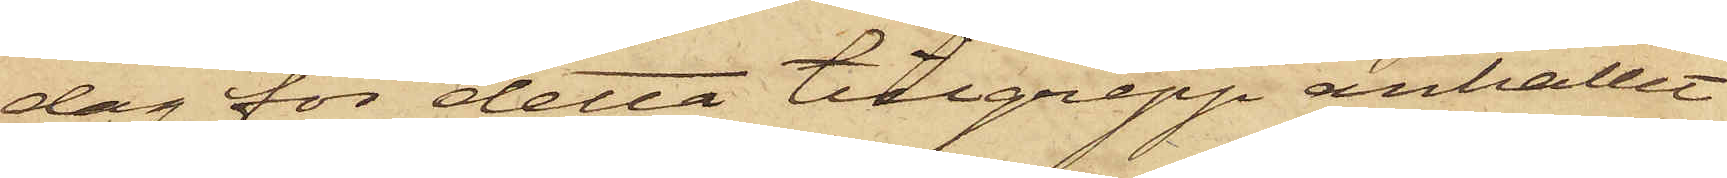dag för detta tillgrepp anhållit
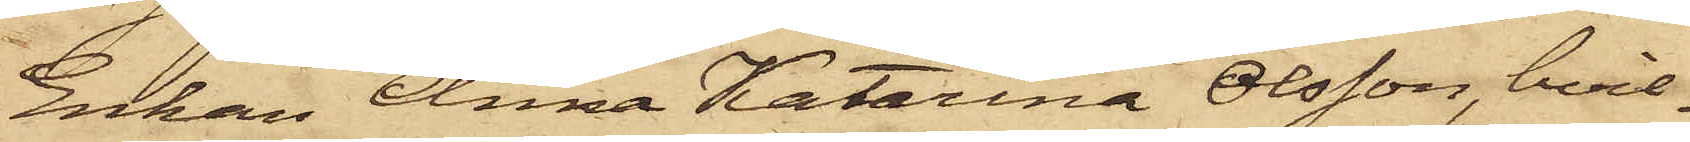Enkan Anna Katarina Olsson, hvil¬
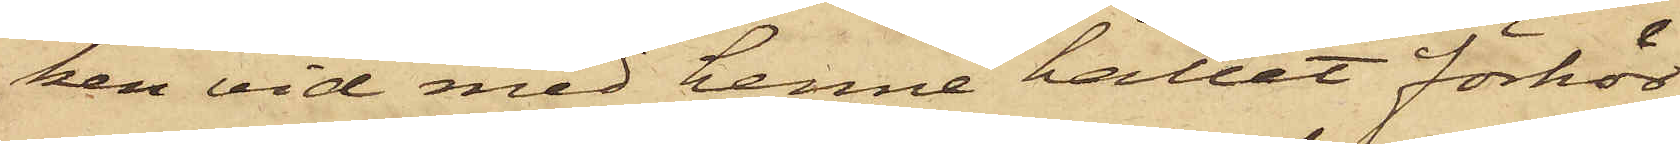ken vid med henne hållet förhör
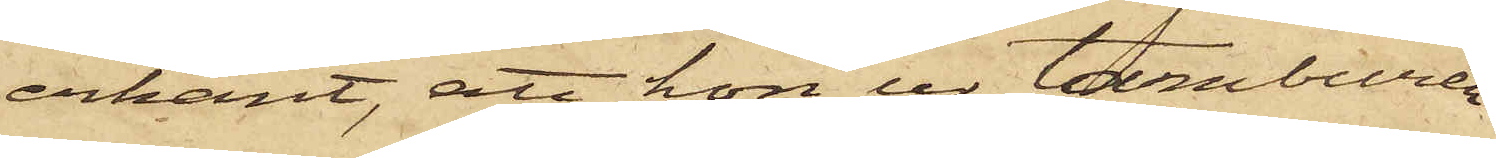erkänt, att hon ur tamburen
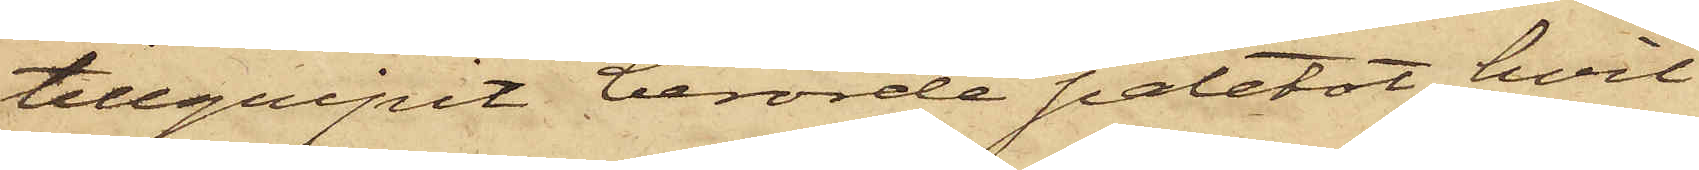tillgripit berörde paletot, hvil¬
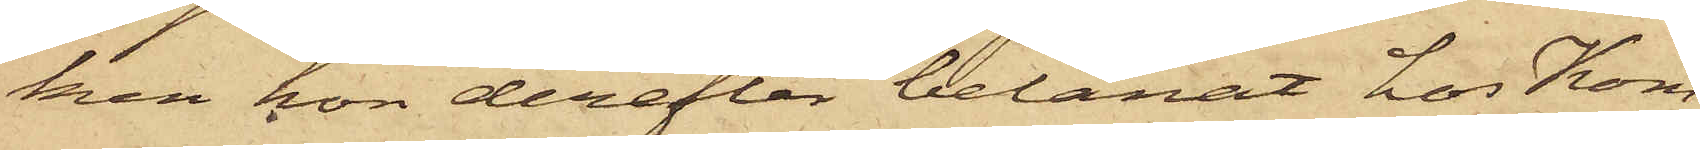ken hon derefter belånat hos Kom¬
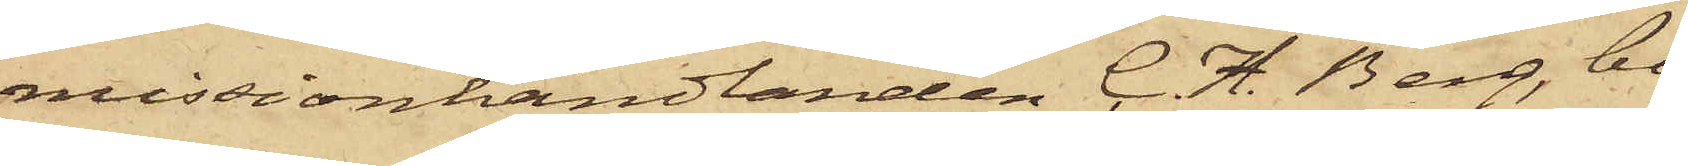missionhandlanden C. H. Berg, bo¬
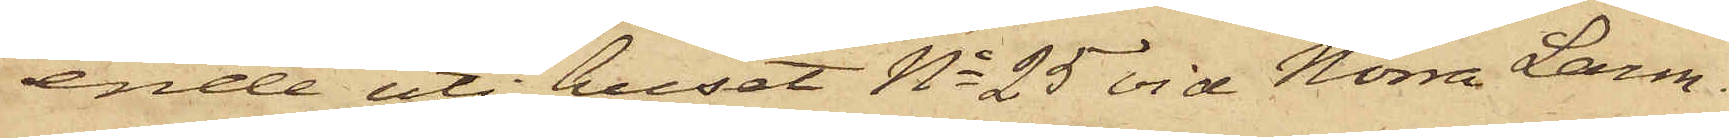ende uti huset No 25 vid Norra Larm¬
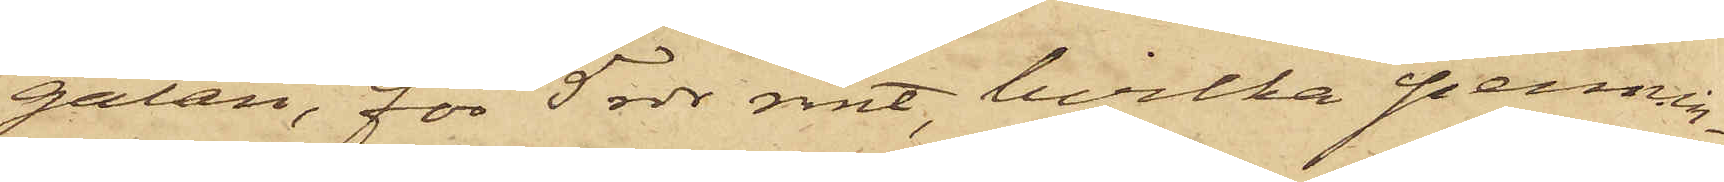gatan, för 5 rdr rmt, hvilka pennin¬
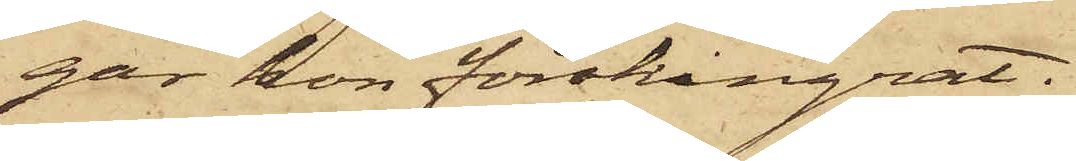gar hon förskingrat.
